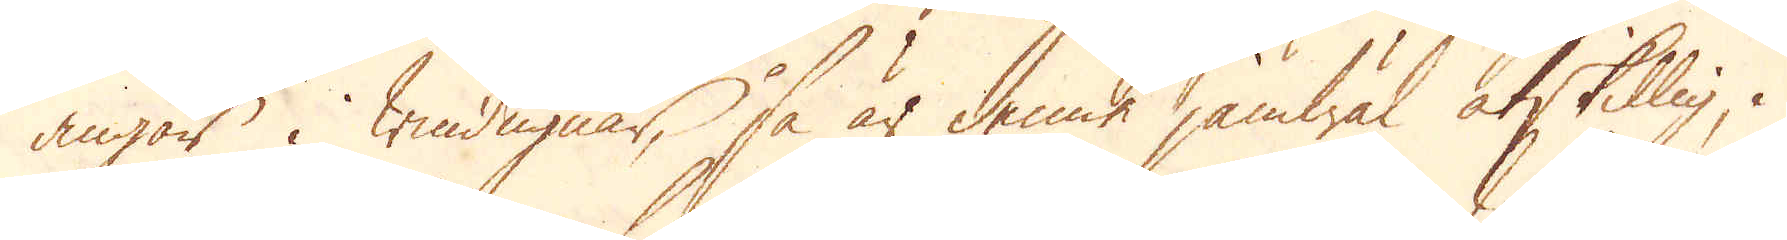angår i windugnar, så är denne jämwäl åtskillig, i
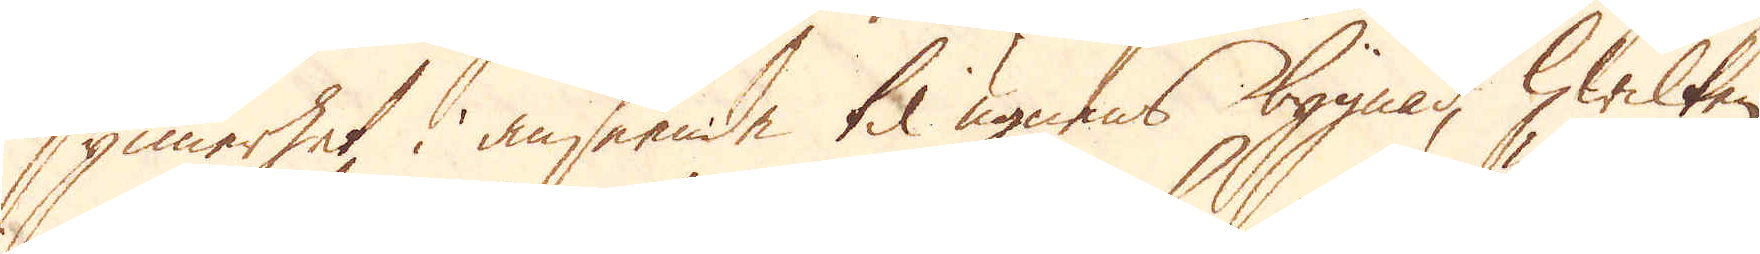synnerhet i anseende til ugnens bygnad, hwilken
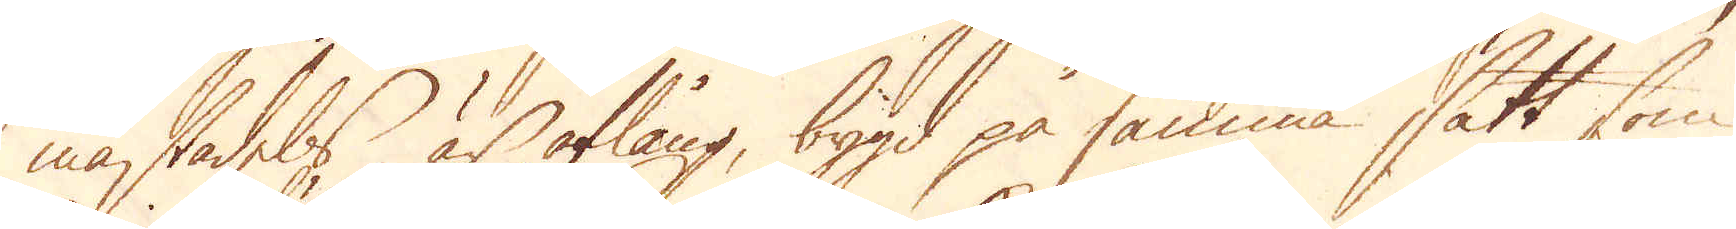mästadels är aflång, bygd på samma sätt som
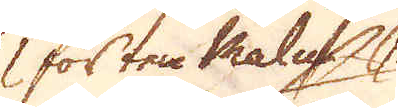för ten Malm
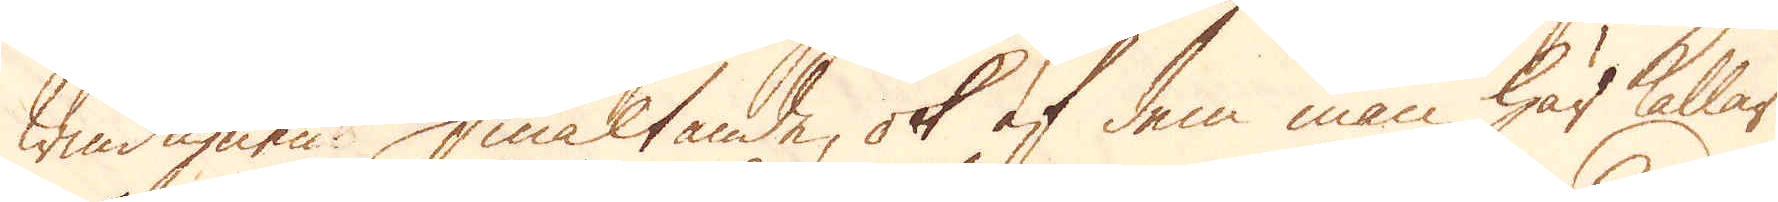windugnen. Smältande, ok af dem man här kallar
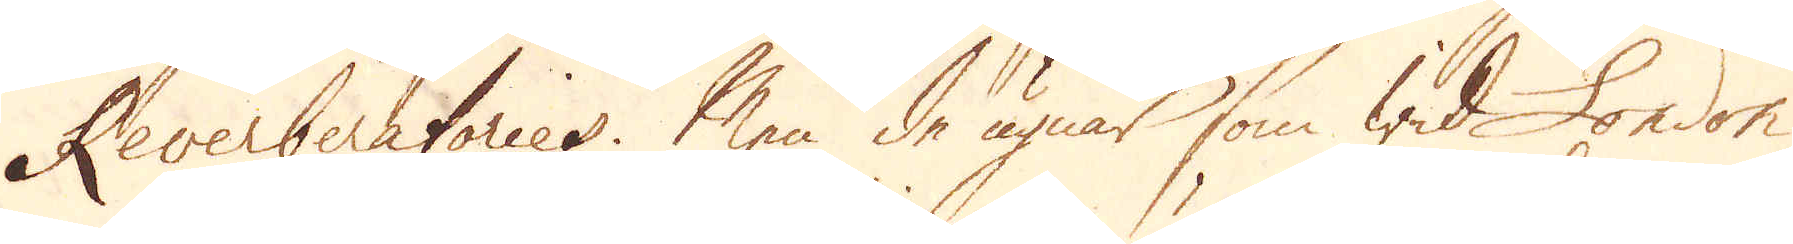Reverberatories. Men de ugnar som wid London
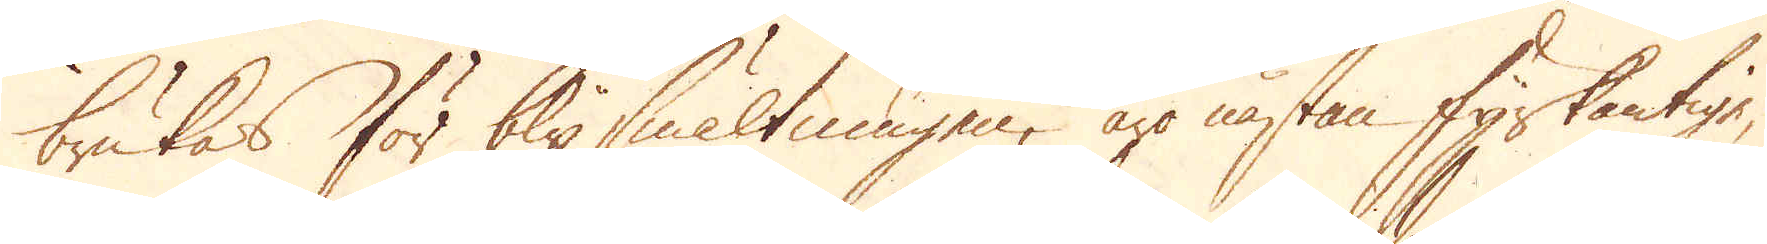brukas för blysmältningen, äro nästan fyrkantige,
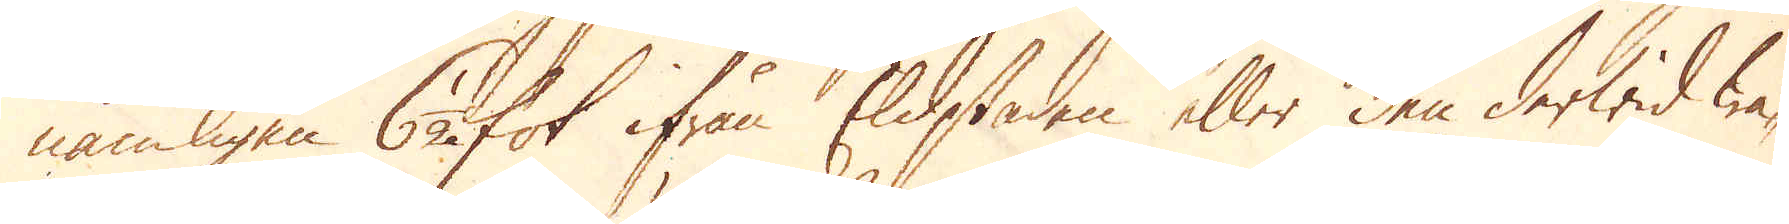nämligen 6 fot ifrån Eldstaden eller den derwid wa-
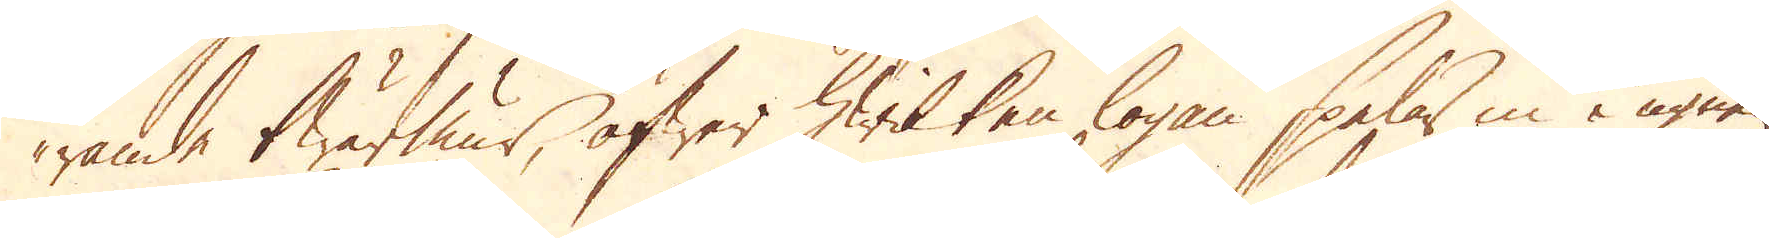rande twärmur, öfwer hwilken logan spelar in i ugnen
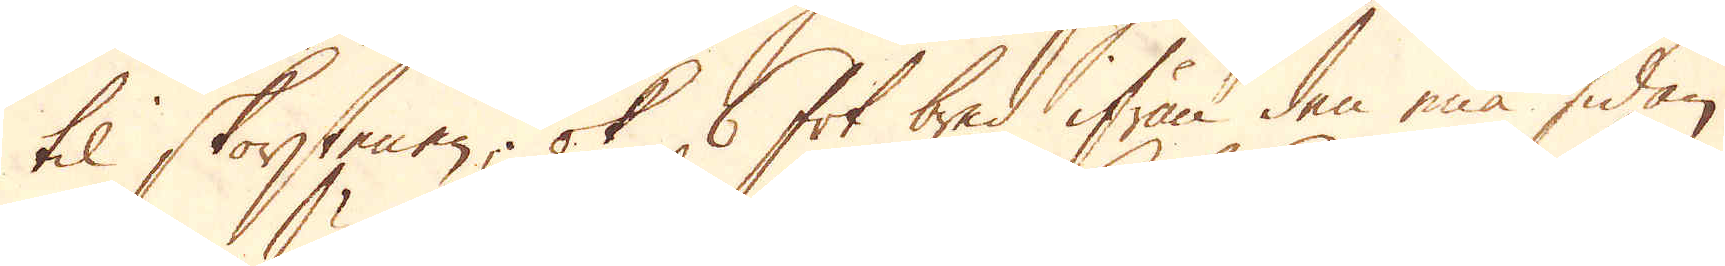til skorstenen; ok 6 fot bred ifrån den ena sidan,
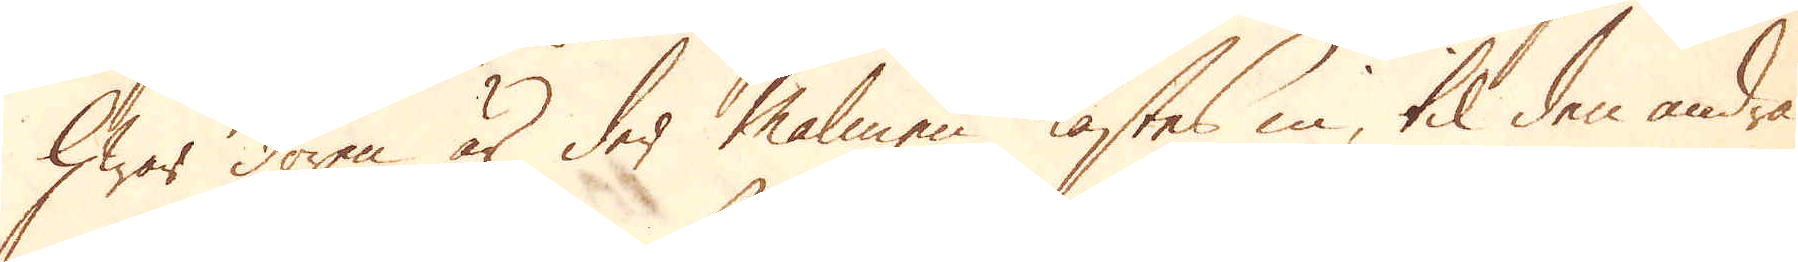hwar dören är der malmen kastas in, til den andra
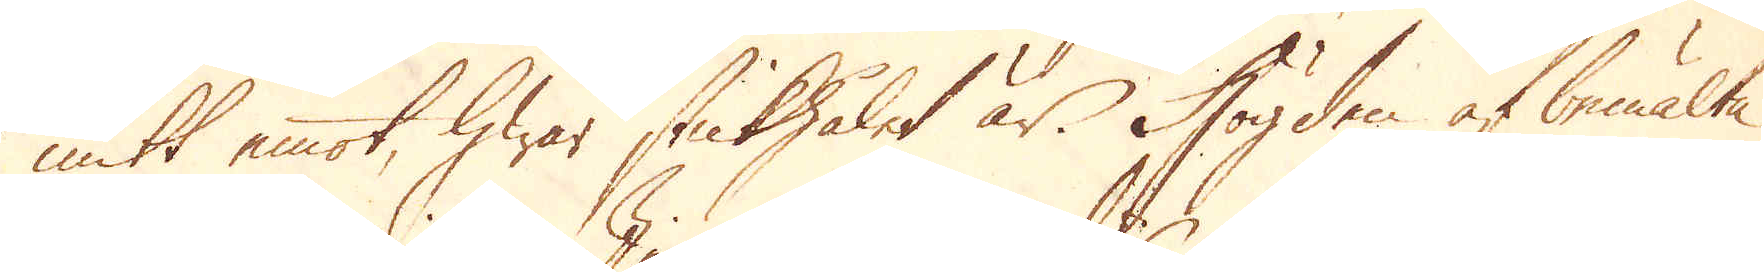mitt emot, hwar stickhålet är. Högden af bemälte
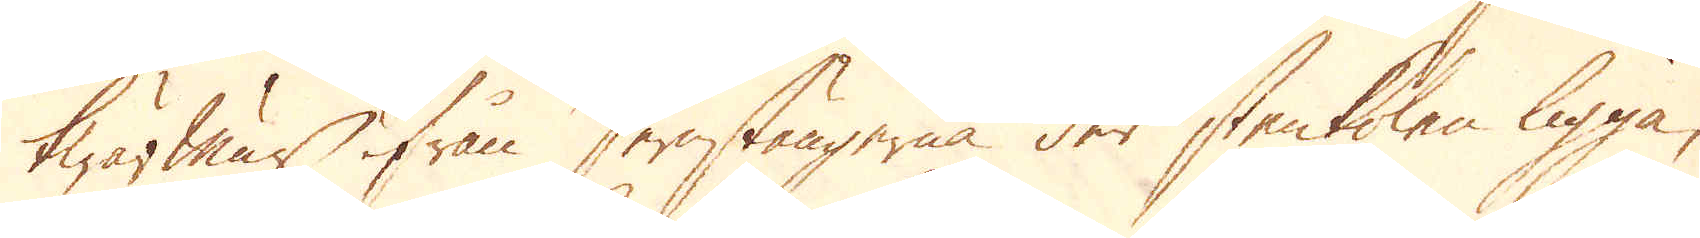twärmur ifrån Jernstängerna der stenkolen ligga,
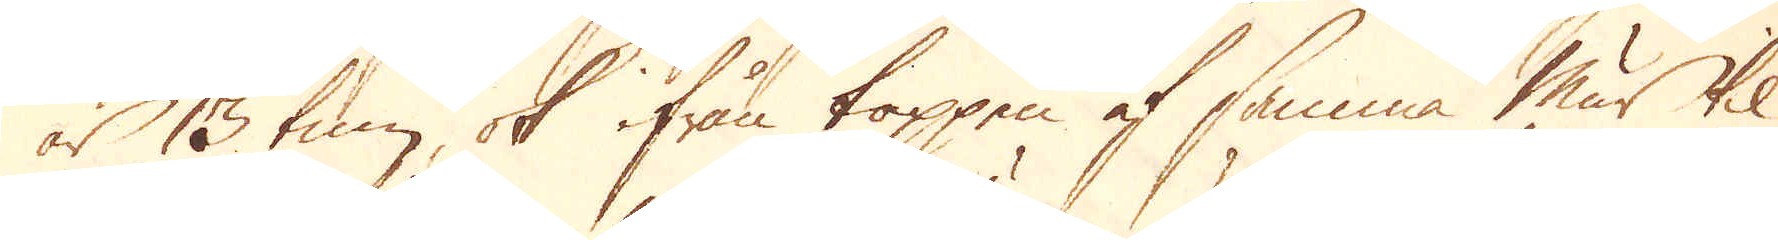är 13 tum, ok ifrån toppen af samma mur til
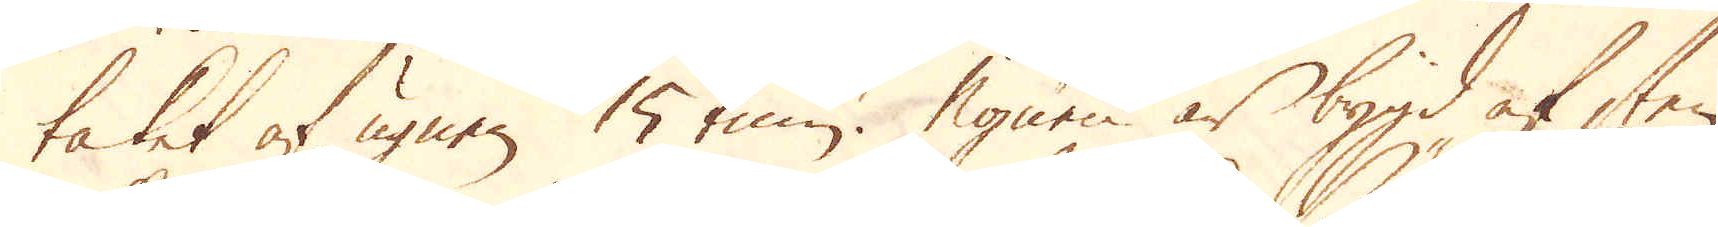taket af ugnen 15 tum. Ugnen är bygd af sten
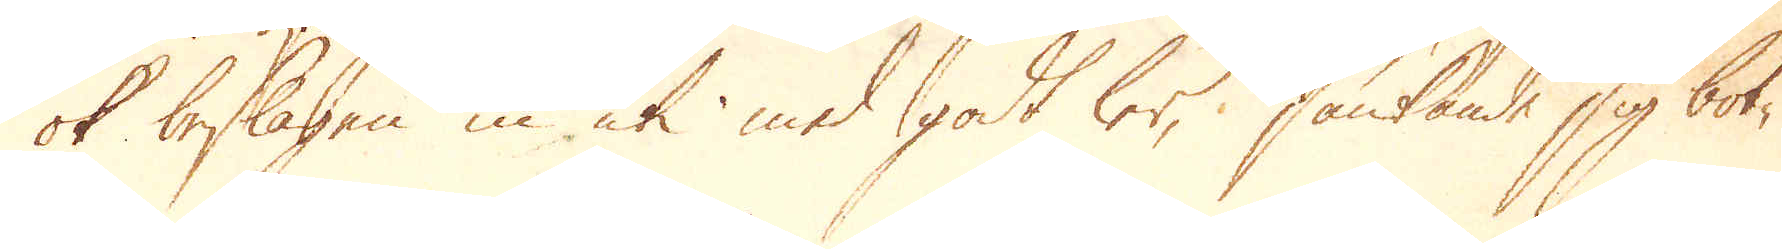ok beslagen in uti med godt ler, sänkande sig bot-
